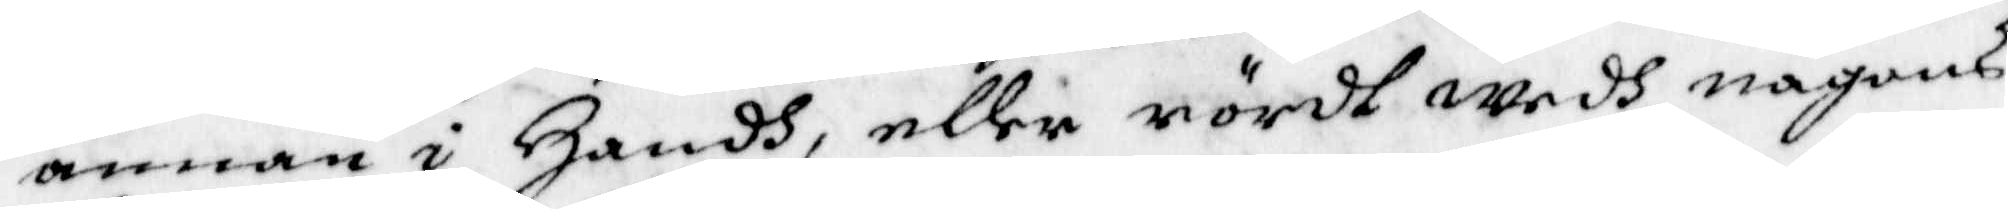annan i Handh, eller rördt wedh någons
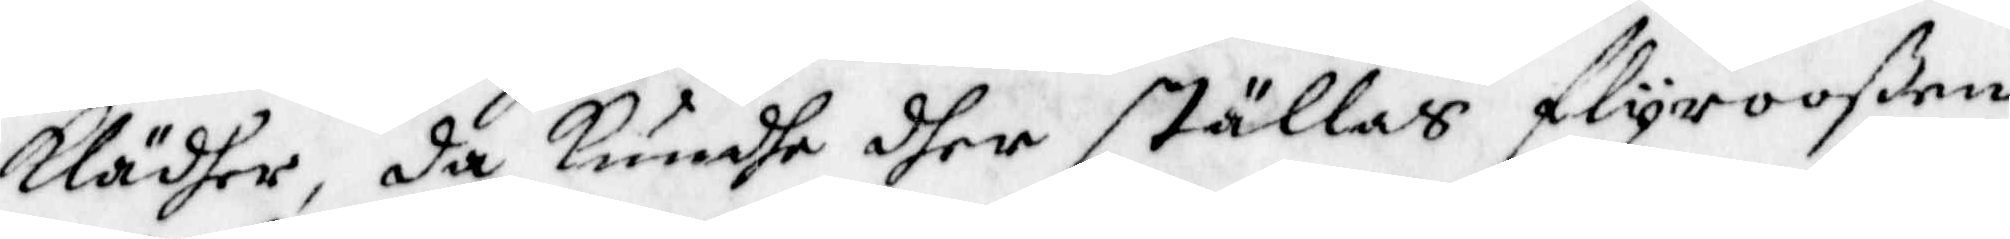klädher, da kundhe dher ställas flyrooßen
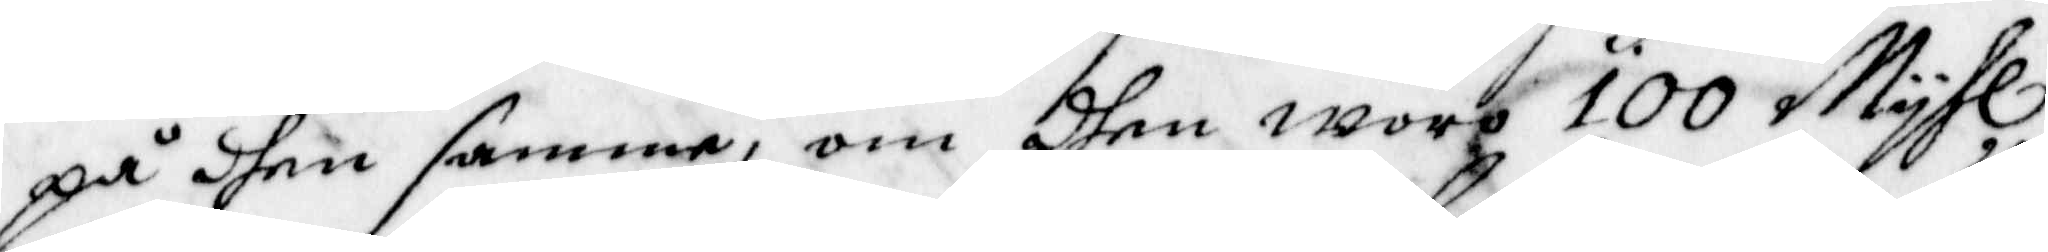på dhen samme, om dhen woro 100 Myhl
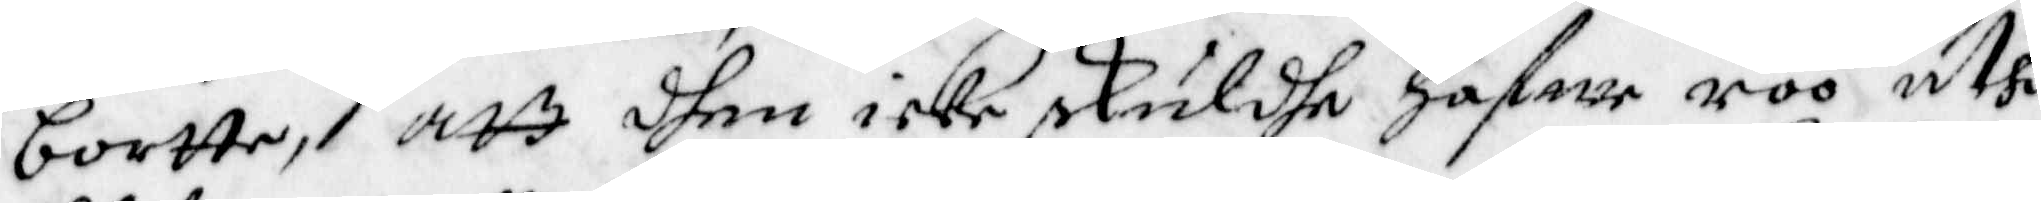bortte, att dhen icke skuldhe Hafwe roo uthi
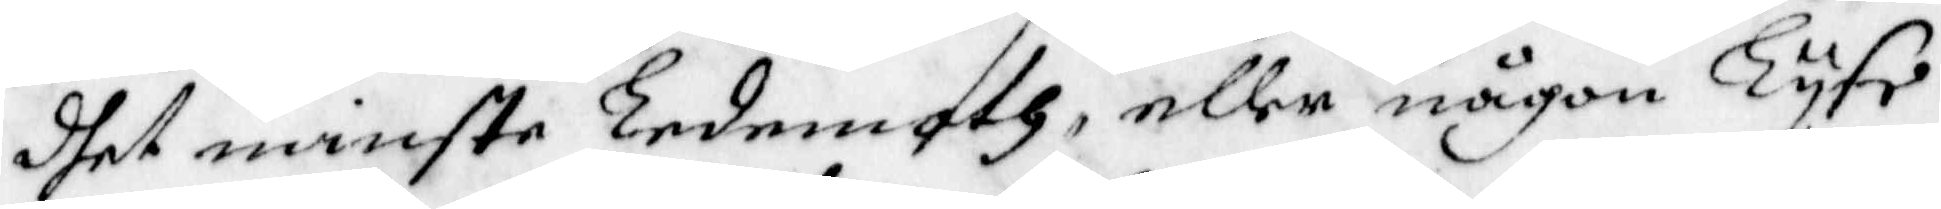dhet minste Ledemoth, eller någon Lyse.
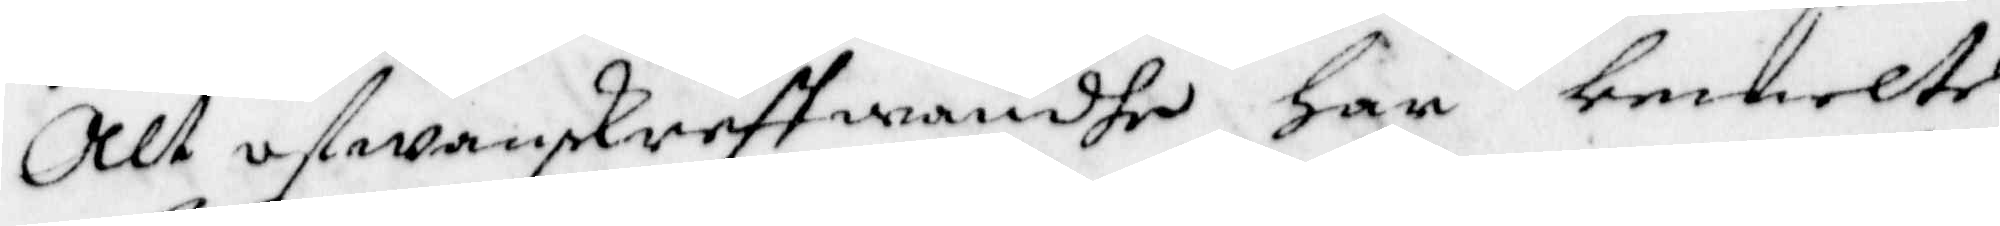Alt ofwanskreffwandhe har bemelte
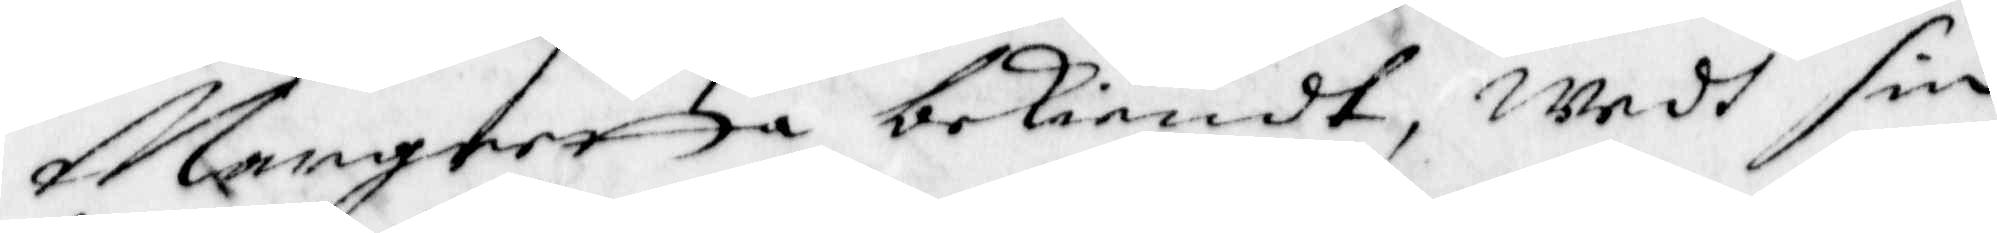Margretta bekiendt, wedh sin
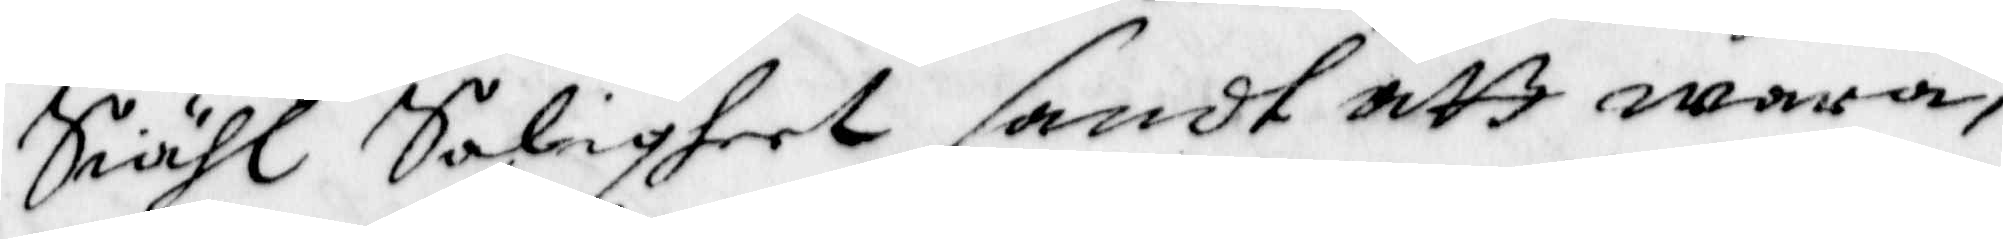Siähl Saligheet sandt att wara,
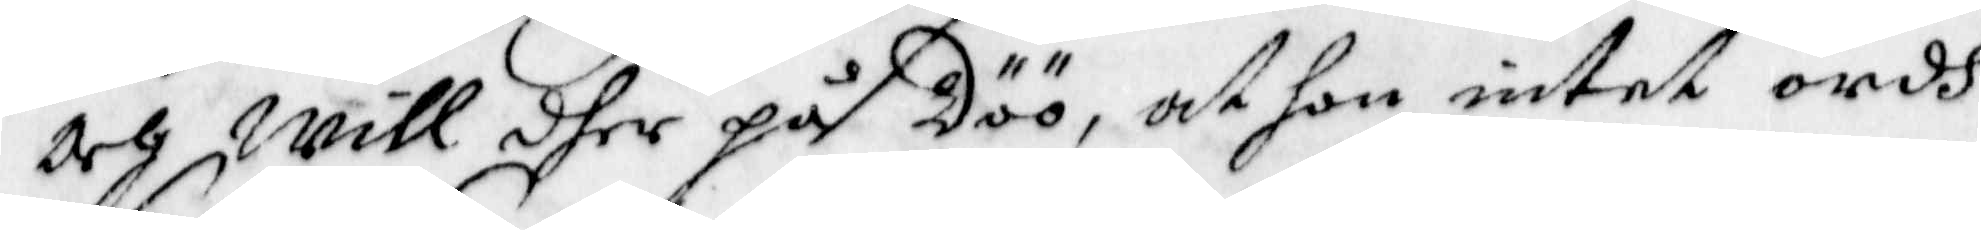och will dher på döö, at hon intet ordh
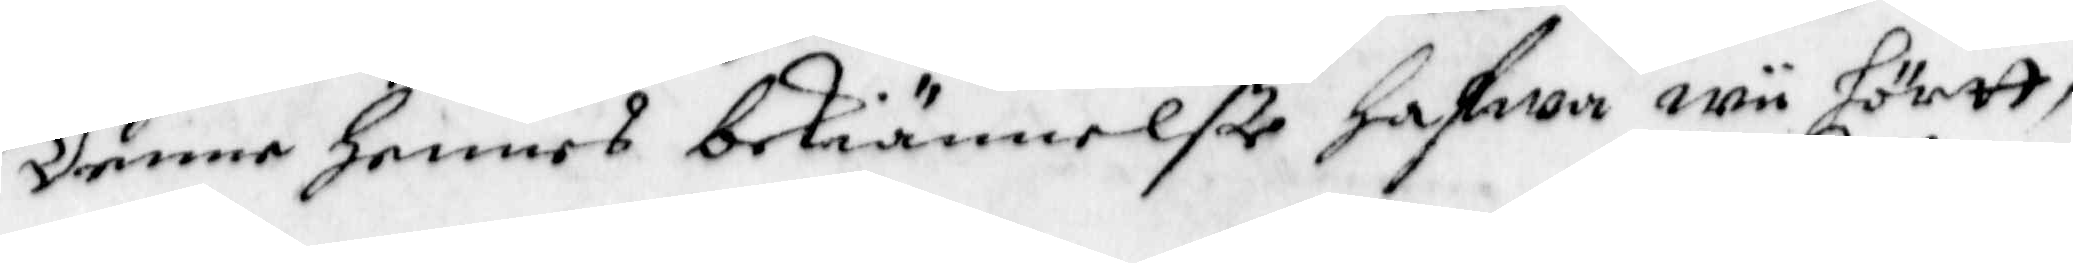Denne hennes bekiännelße hafwa wii hörtt,
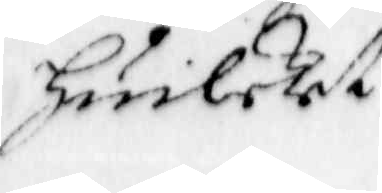Huilket
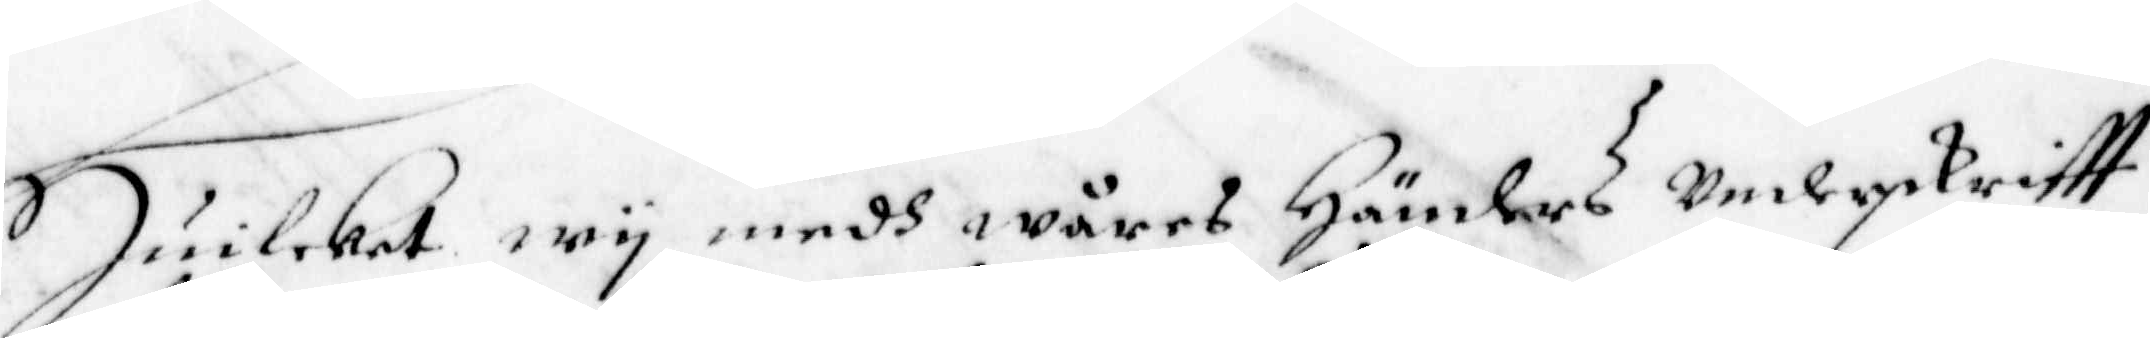Huilket wy medh wåres Händers underskriftt
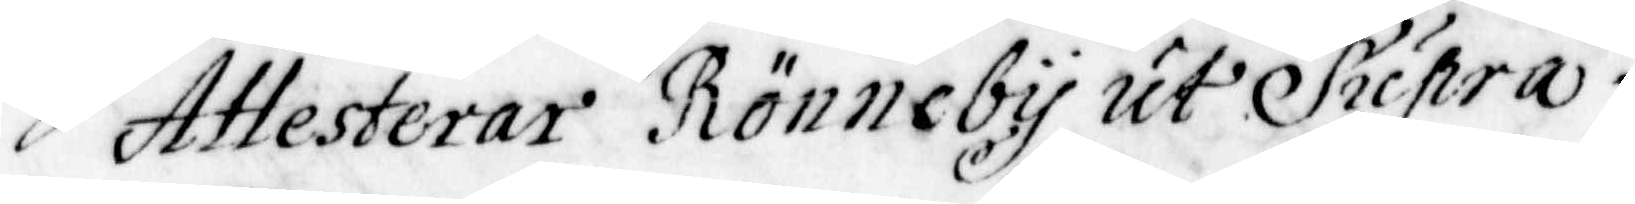Attesterar Rönneby ut Supra.
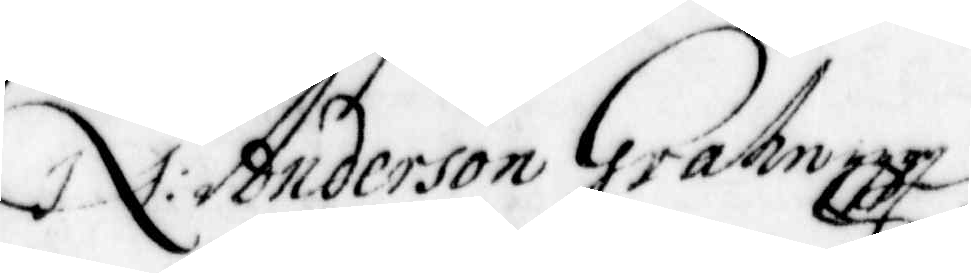N: Anderson Grahn
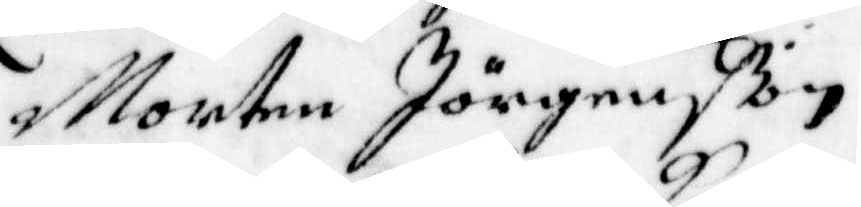Morten Jörgenßon
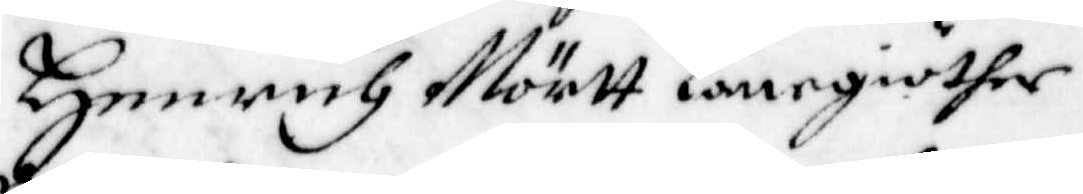Henrich Mörtt Lanegiöther
